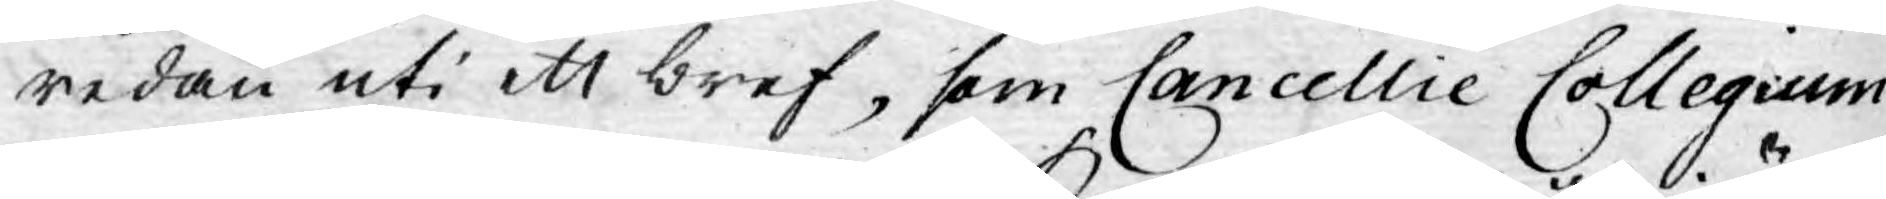redan uti ett bref, som Cancellie Collegium
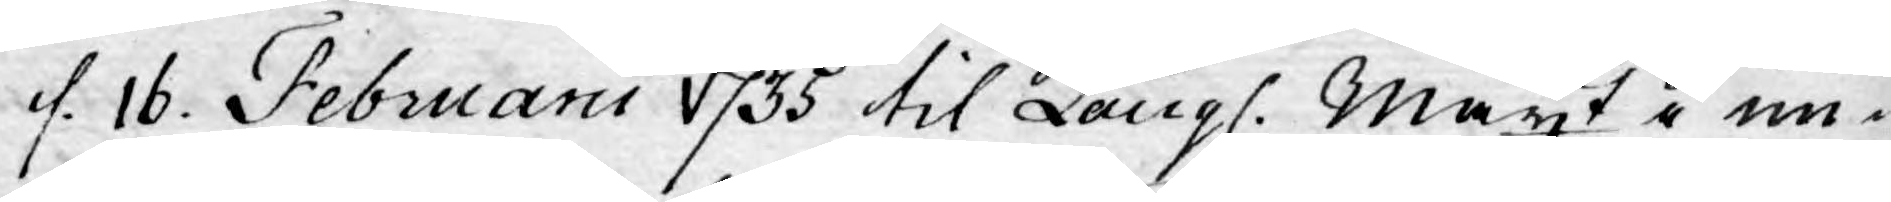d. 16. Februarii 1735 til Kongl. Mayt i un¬
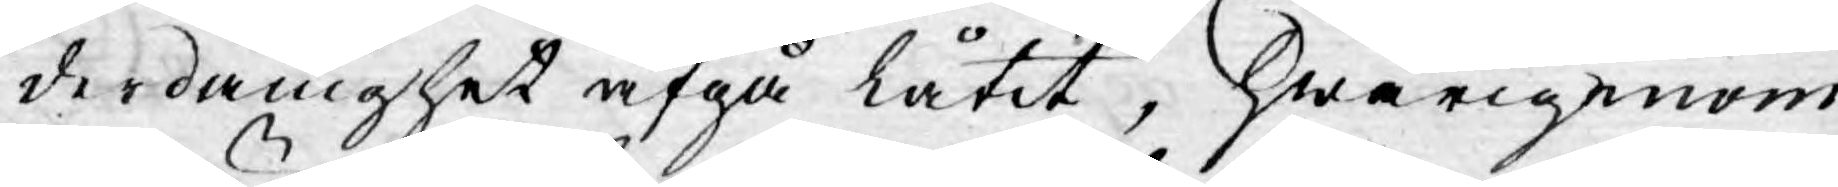derdånighet afgå låtit, hwarigenom
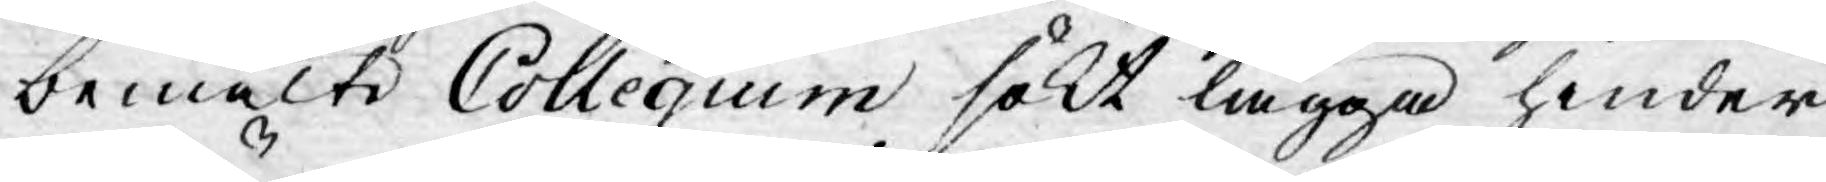bemälte Collegium sökt lägga hinder
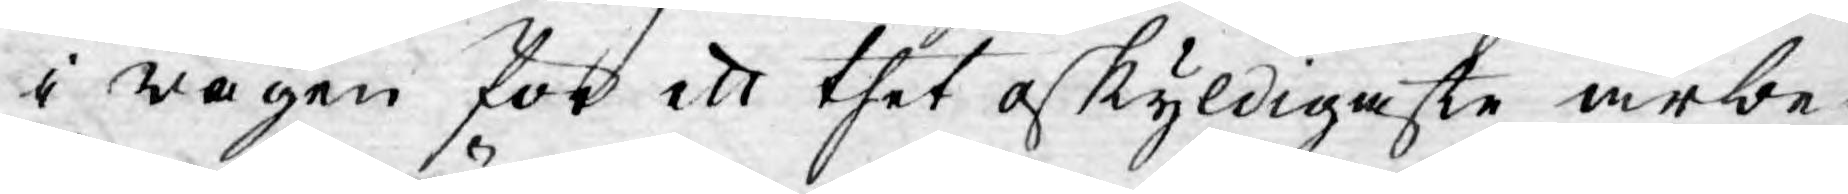i wägen för ett thet oskyldigaste arbe-
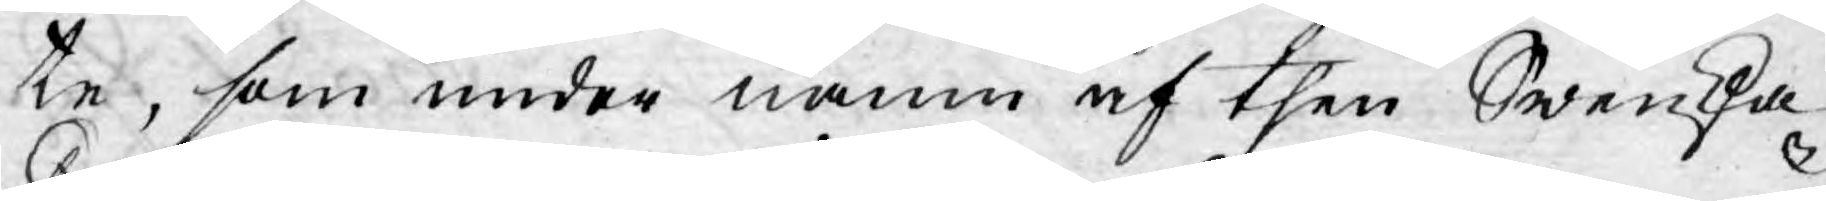te, som under namn af then Swenska
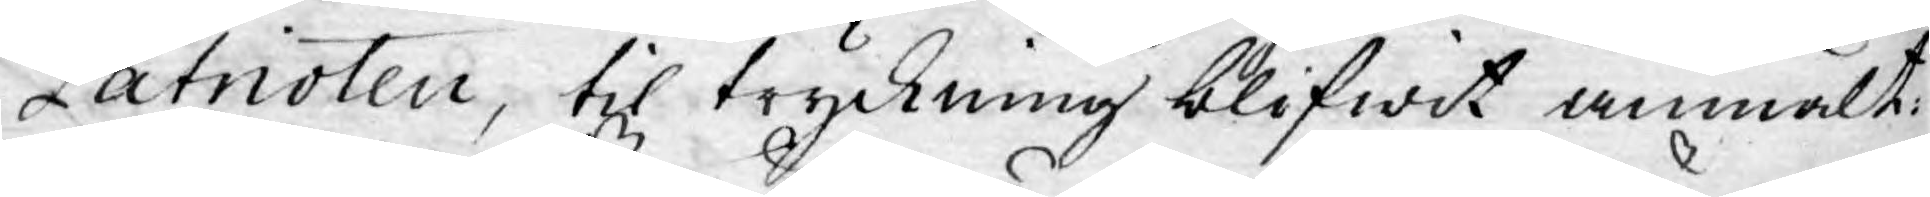Patrioten, til tryckning blifwit anmält.
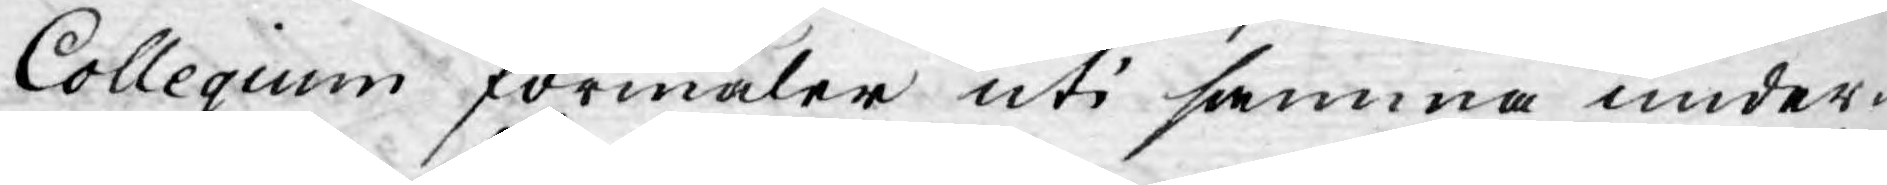Collegium förmäler uti samma under-
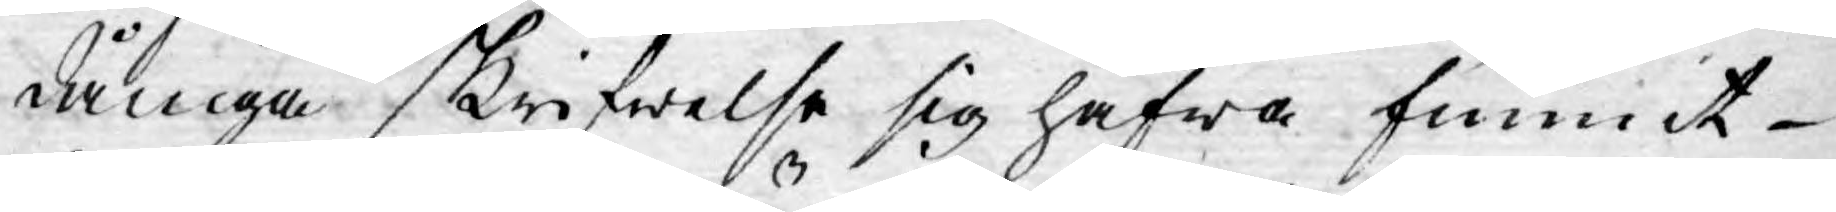dåniga skrifwelse sig hafwa funnit
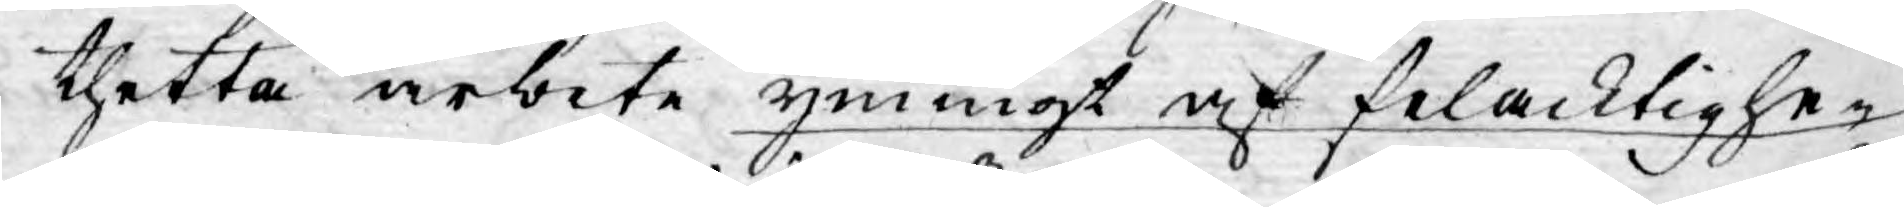thetta arbete ymnigt af felacktighe¬
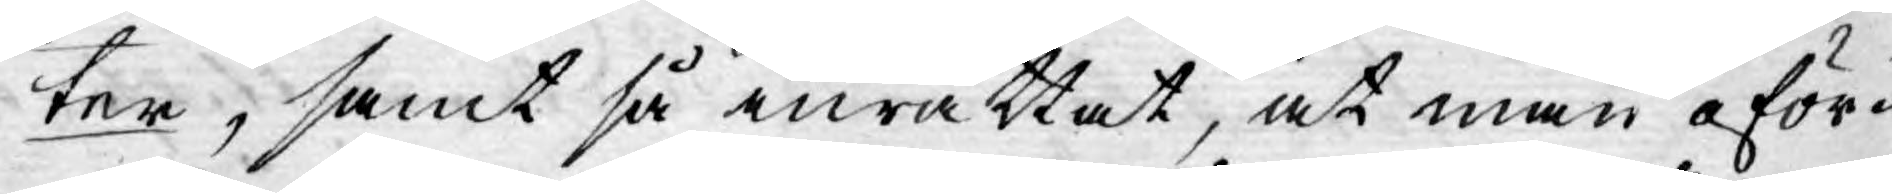ter, samt så inrättat, at man oför¬
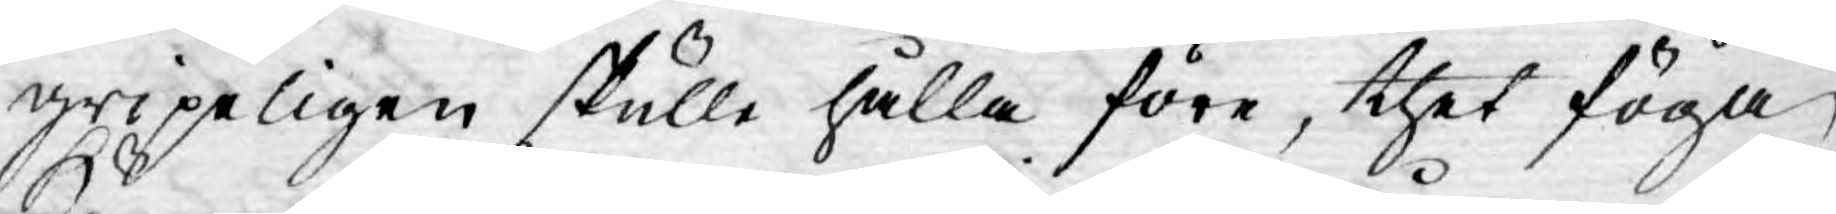gripeligen skulle hålla före, thet föga
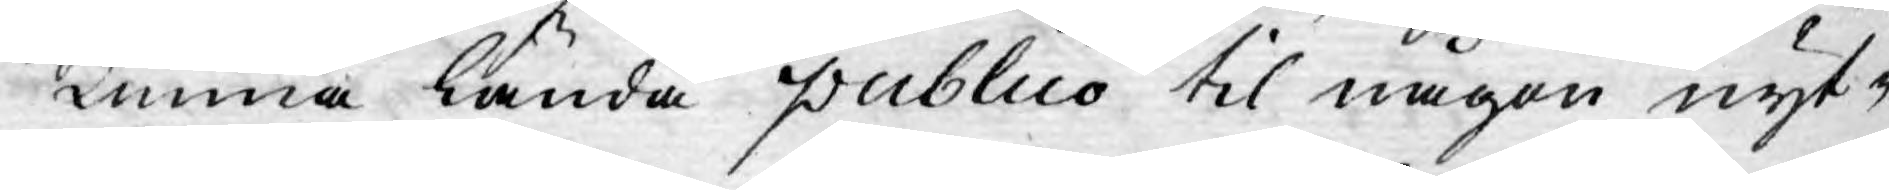kunna lända publico til någon nyt-
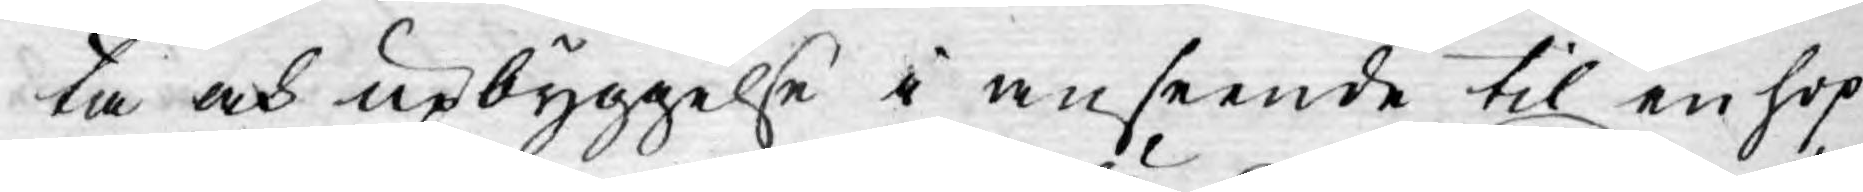ta och upbyggelse i anseende til en hop
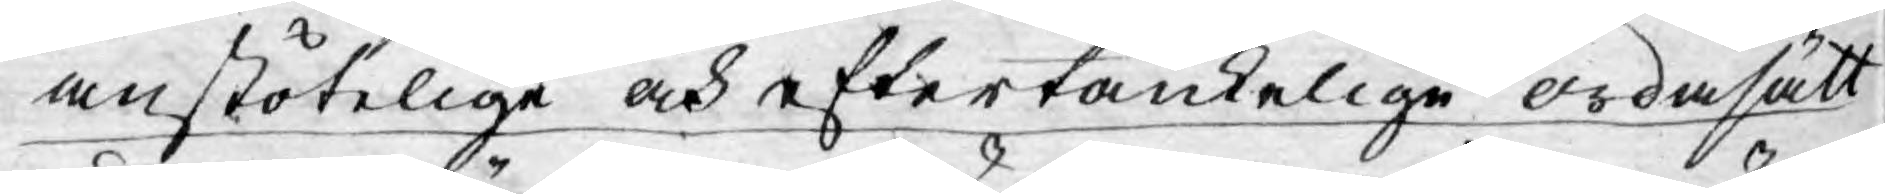anstötelige och eftertänkelige ordasätt
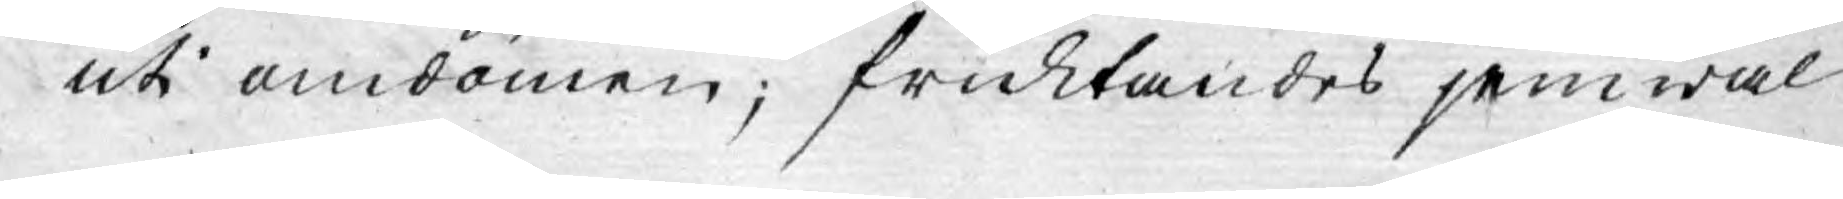uti omdömen; fruktandes jemwäl
